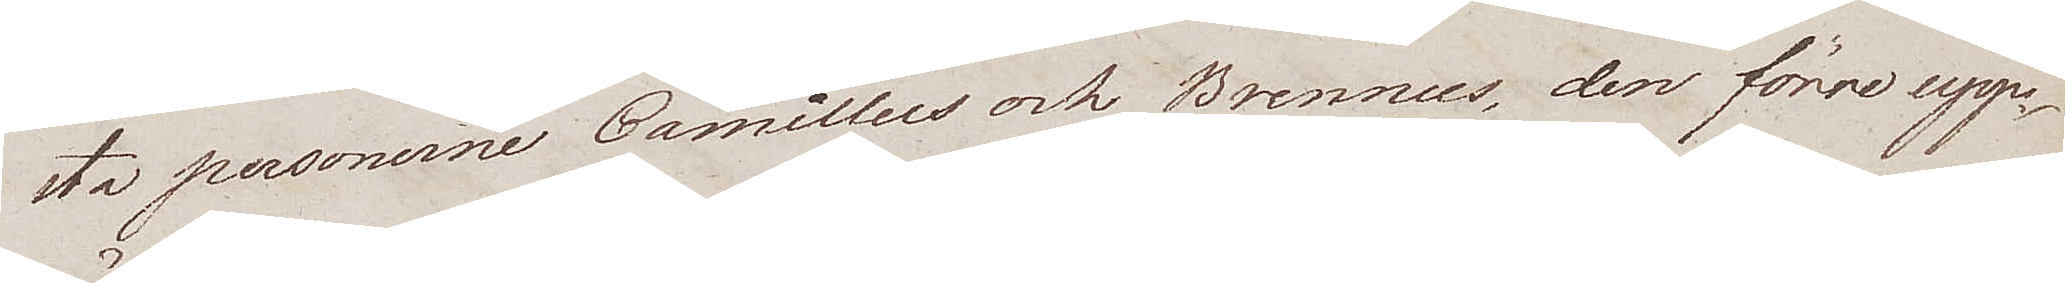sta personerne Camillus och Brennus, den förre upp¬
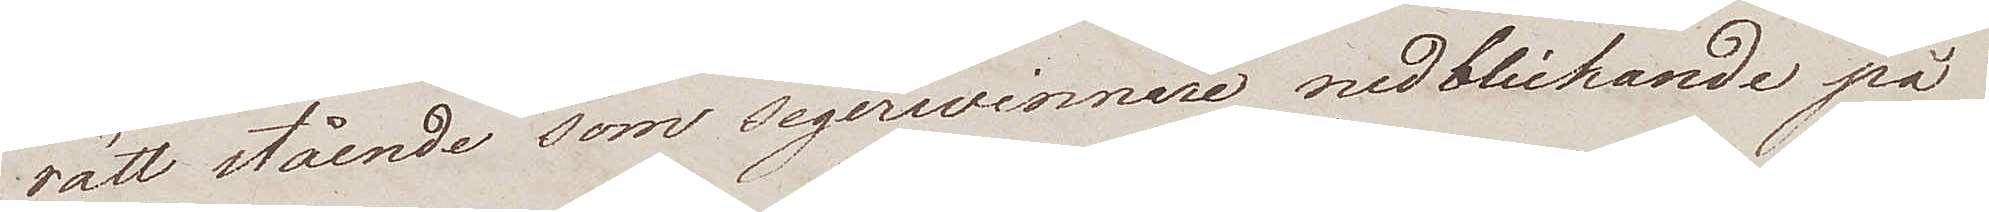rätt stående som segerwinnare nedblickande på
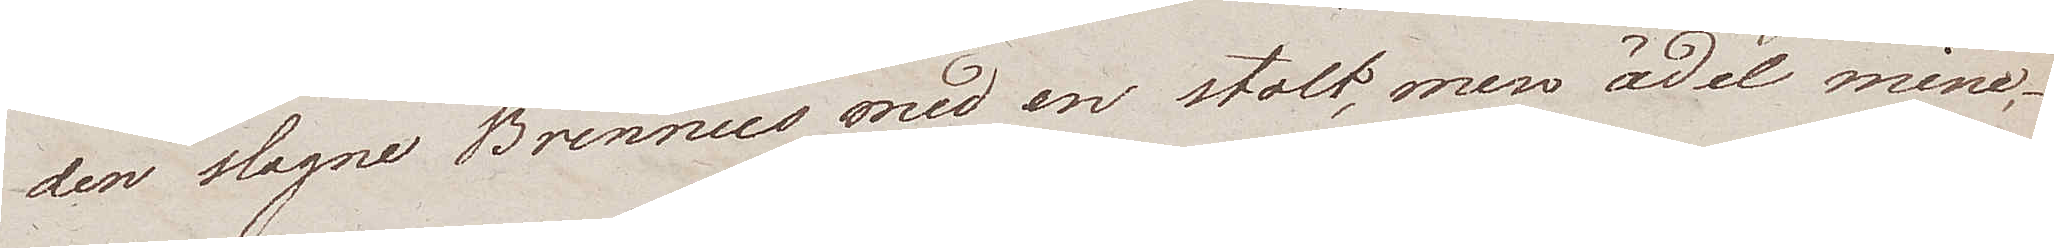den slagne Brennus med en stolt, men ädel mine,
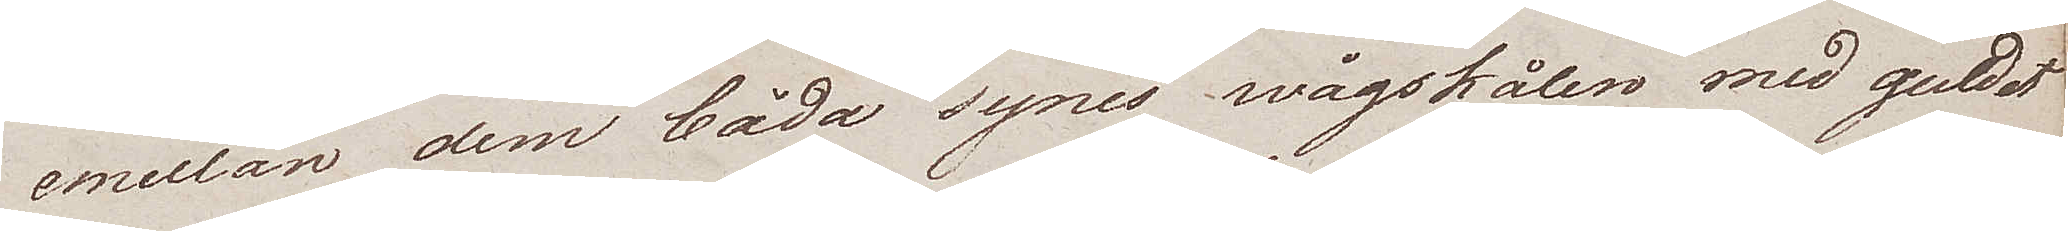emellan dem båda synes wågskålen med guldet
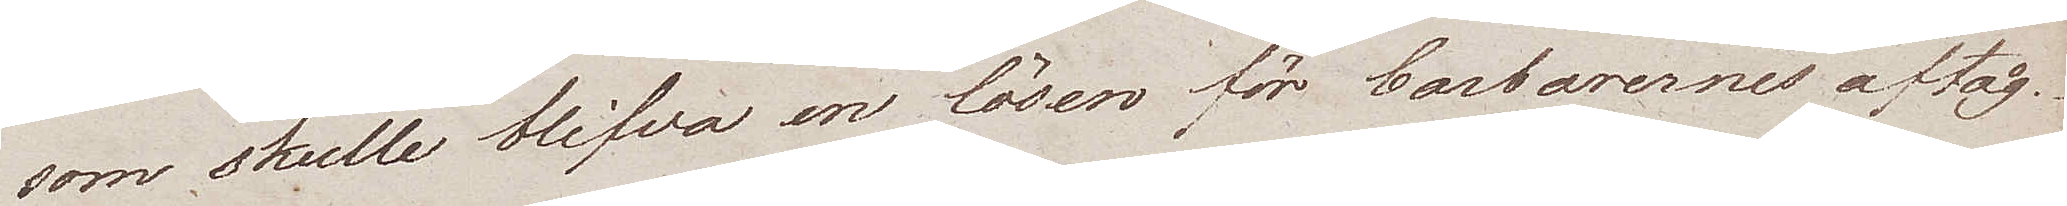som skulle blifva en lösen för barbarernes aftåg.
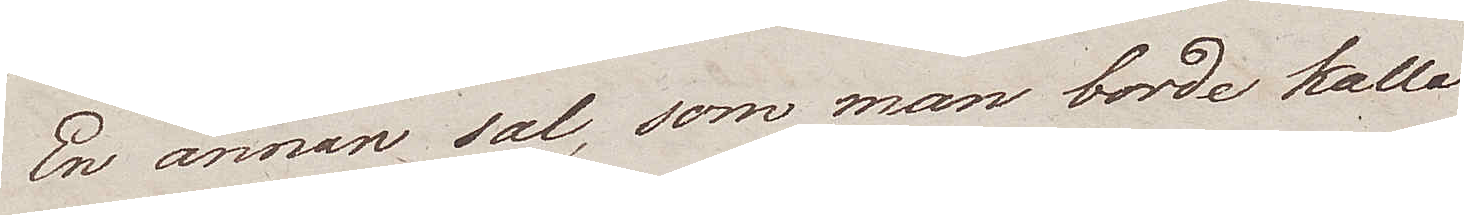En annan sal, som man borde kalla
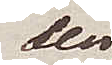den
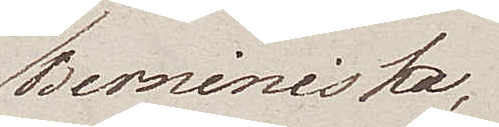Berniniska,
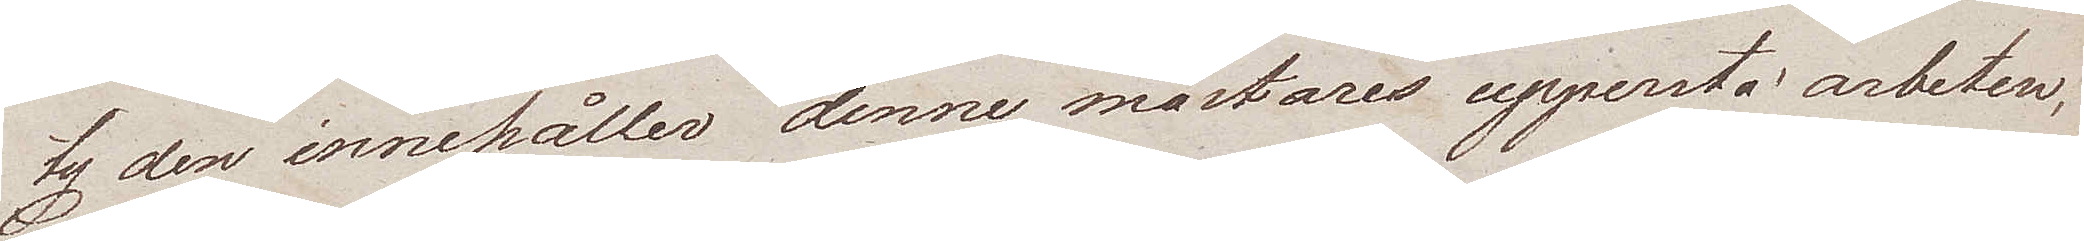ty den innehåller denne mästares uppersta arbeten,
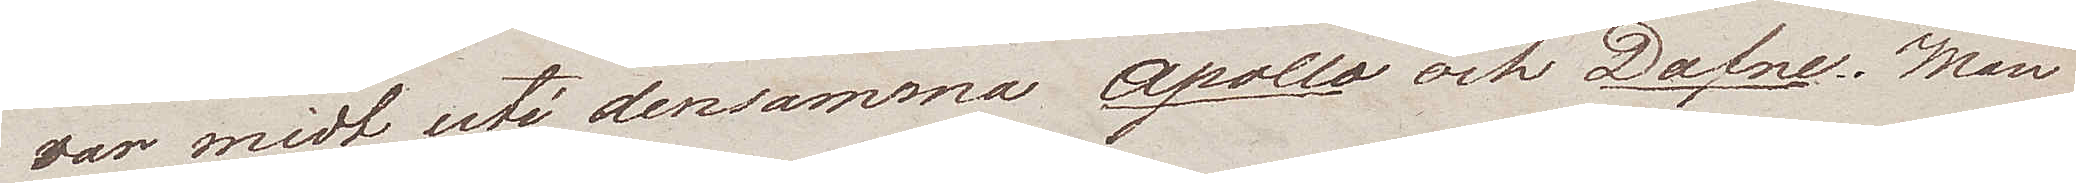var midt uti densamma Apollo och Dafne. Man
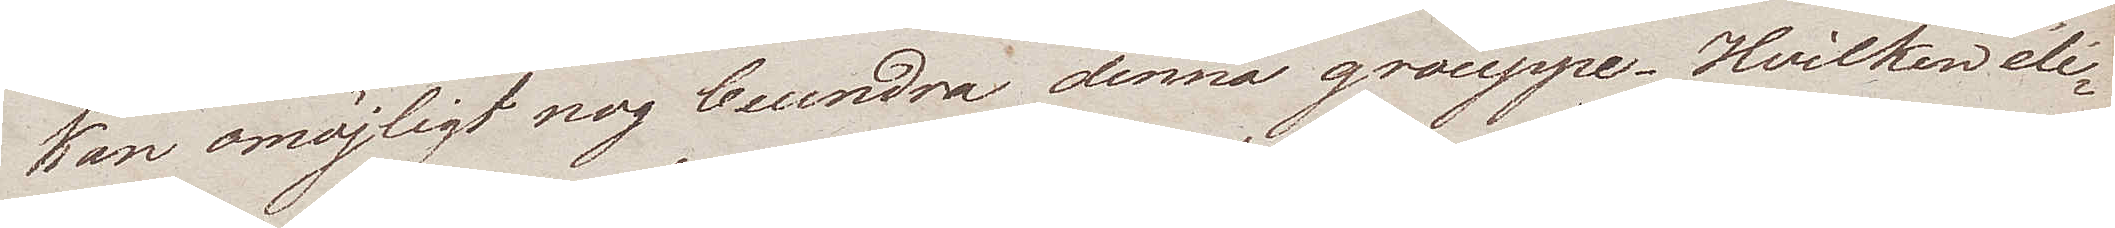kan omöjligt nog beundra denna grouppe. Hvilken élé¬
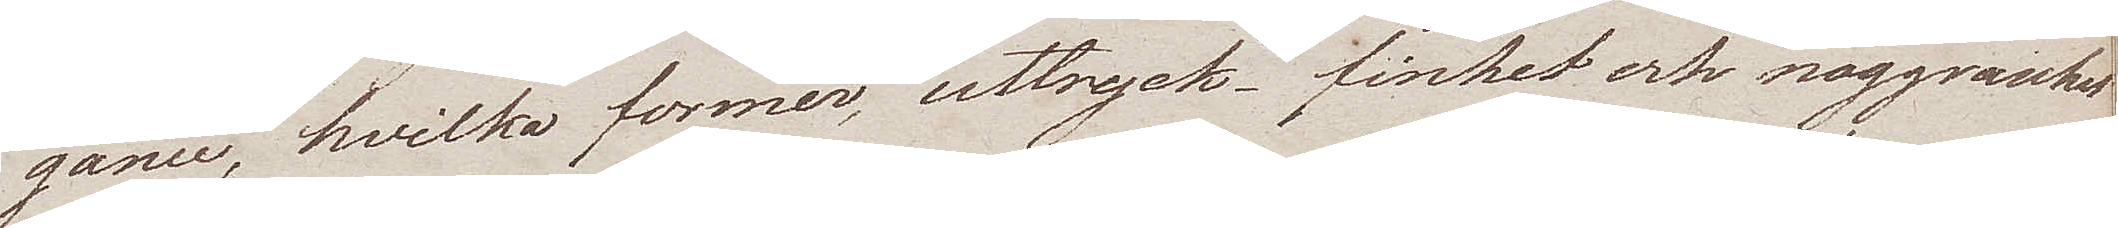gance, hvilka former, uttryck, finhet och noggranhet
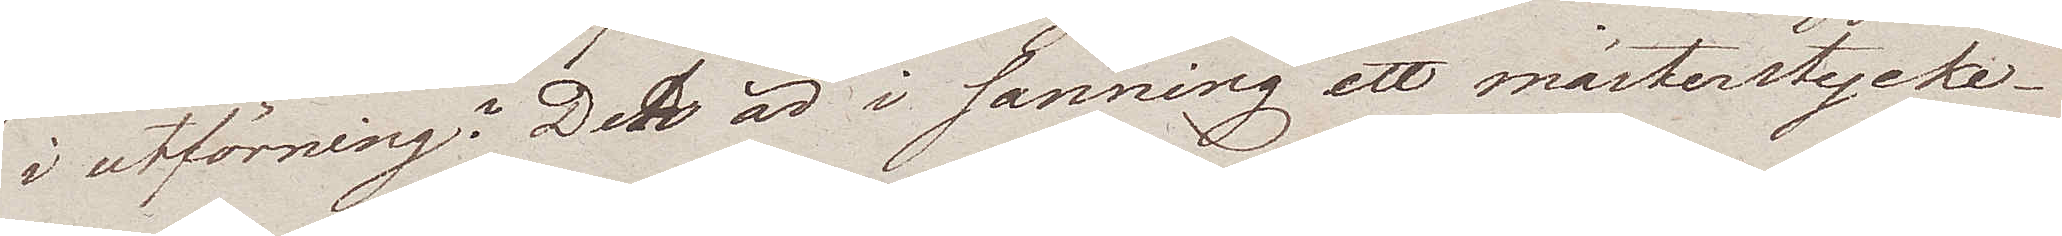i utförning? Det är i sanning ett mästerstycke.
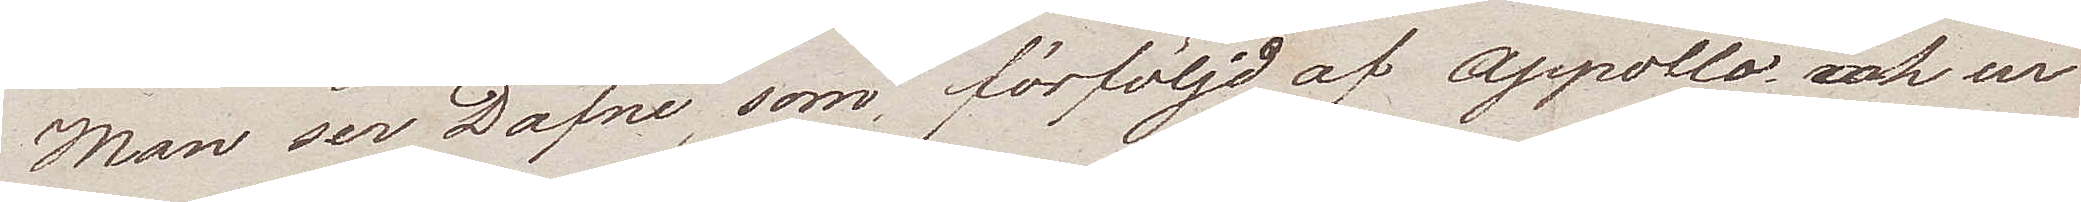Man ser Dafne, som förföljd af Appollo och ur
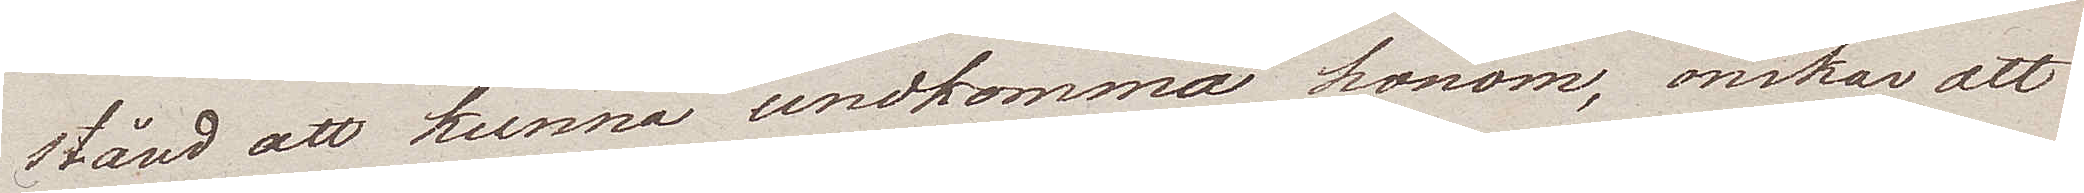stånd att kunna undkomma honom, önskar att
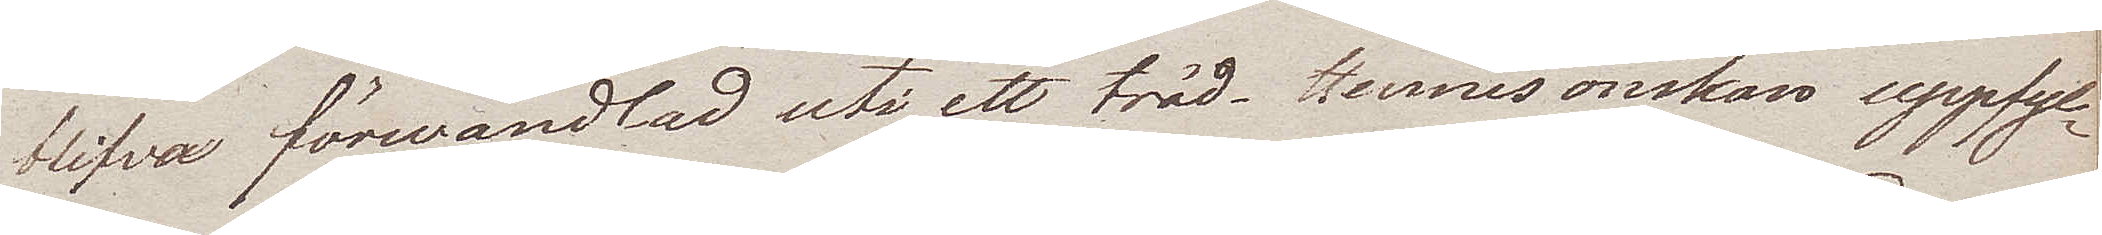blifva förwandlad uti ett träd. Hennes önskan uppfyl¬
